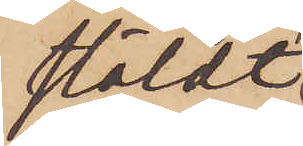stäldt
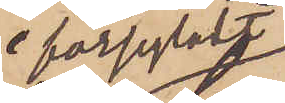försegladt
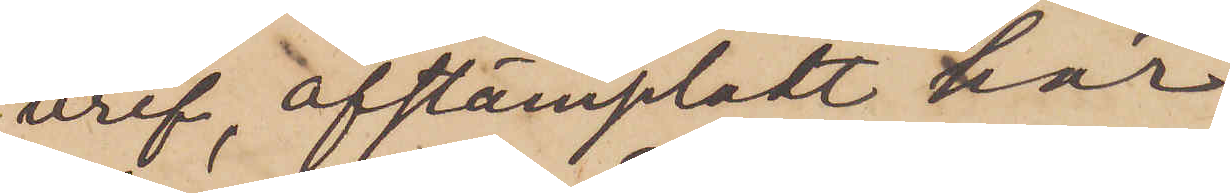bref, afstämpladt här
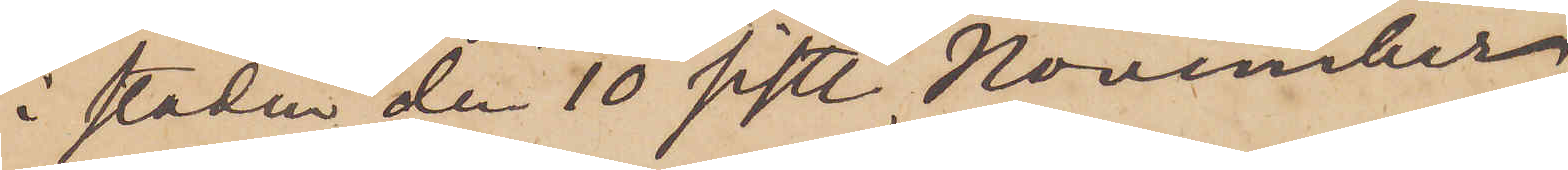i staden den 10 sist. November;
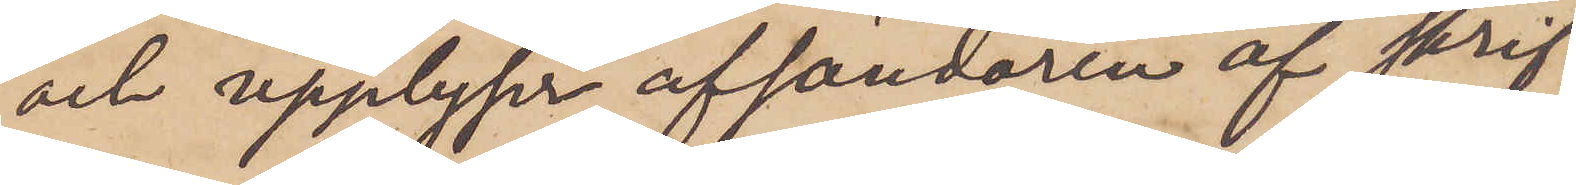och upplyser afsändaren af skrif¬
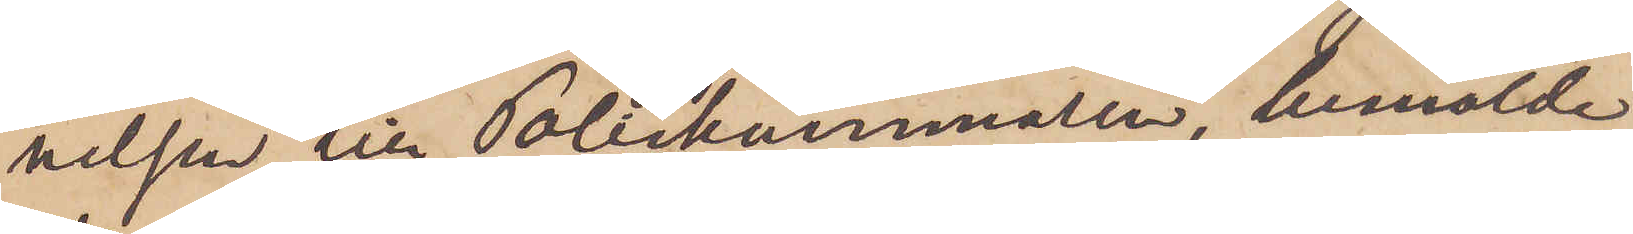velsen till Poliskammaren, bemälde
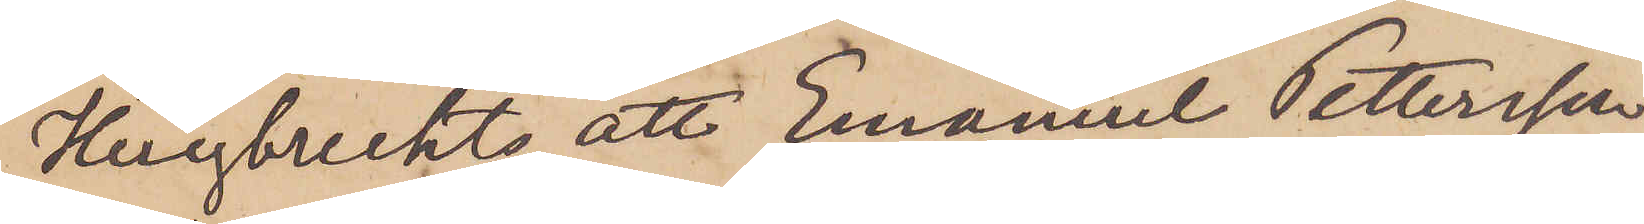Huybrechts, att Emanuel Pettersson
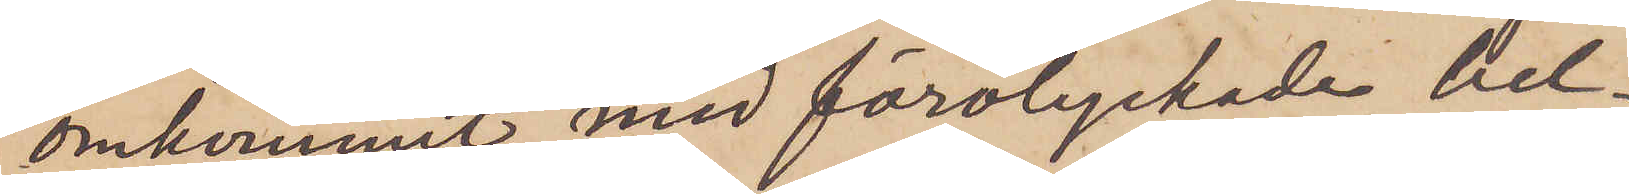omkommit med förolyckade bel¬
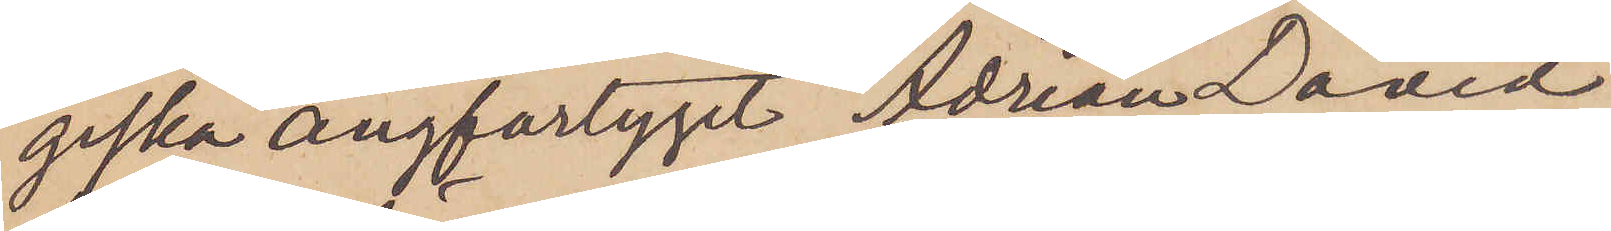giska ångfartyget Adrian David,
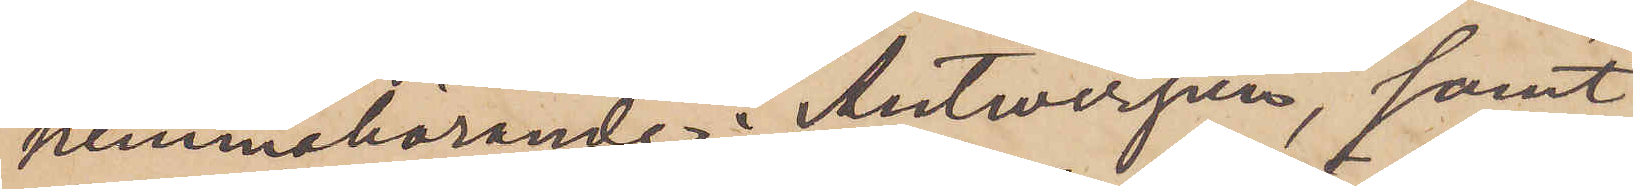hemmahörande i Antwerpen, samt
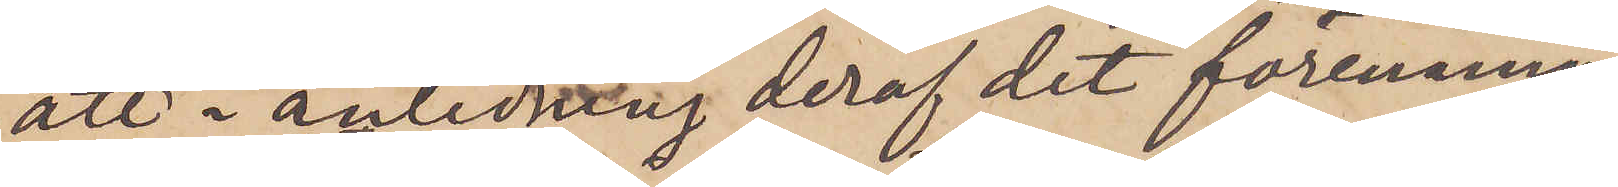att i anledning deraf det förenämn¬
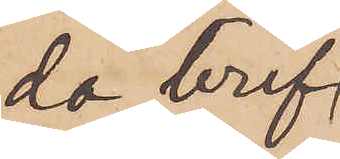da bref¬
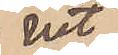vet
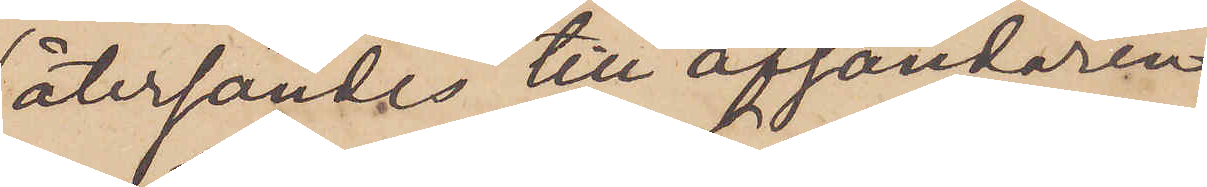återsändes till afsändaren,
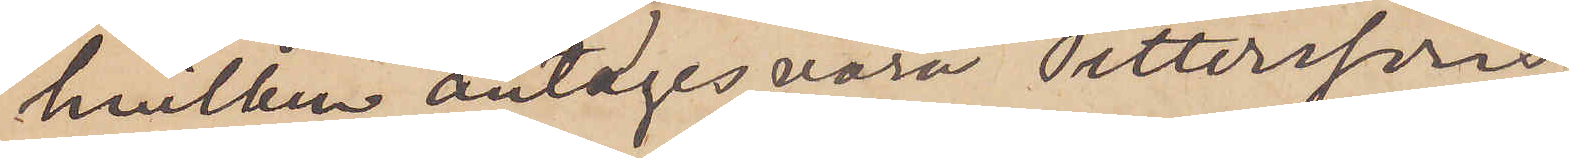hvilken antages vara Petterssons
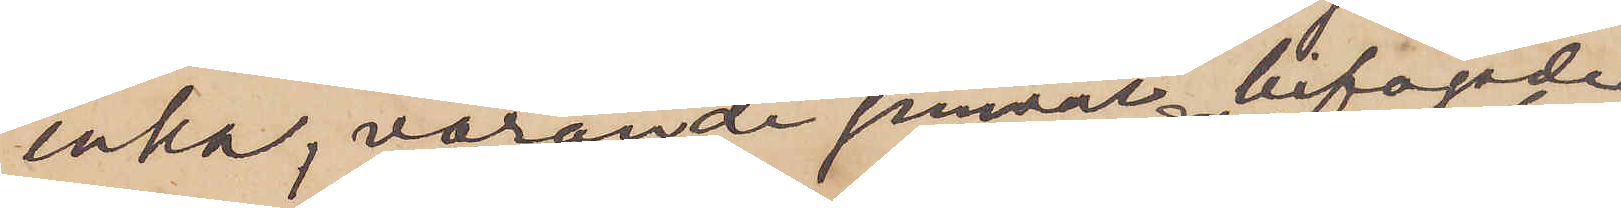enka, varande jämväl bifogade
